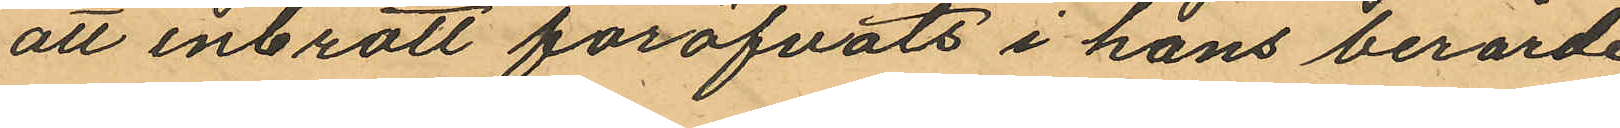att inbrott föröfvats i hans berörde
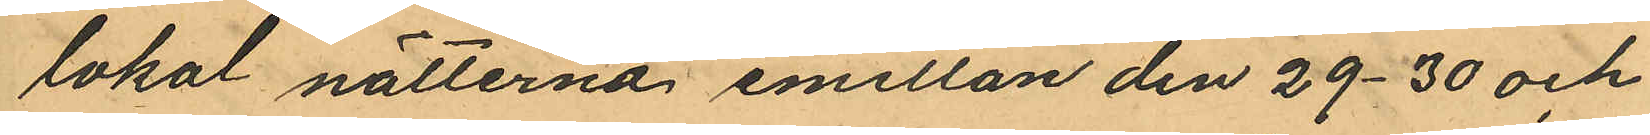lokal nätterna emellan den 29-30 och
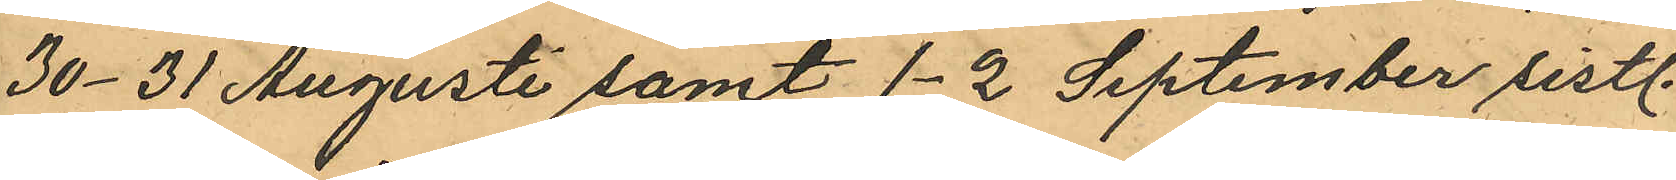30-31 Augusti samt 1-2 September sistl.
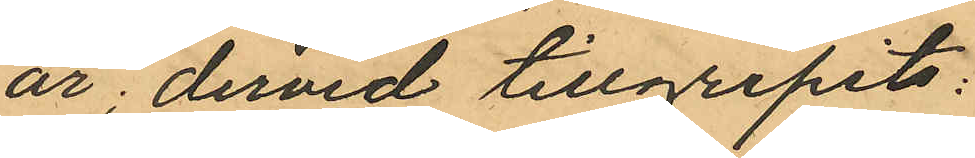år; dervid tillgripits:
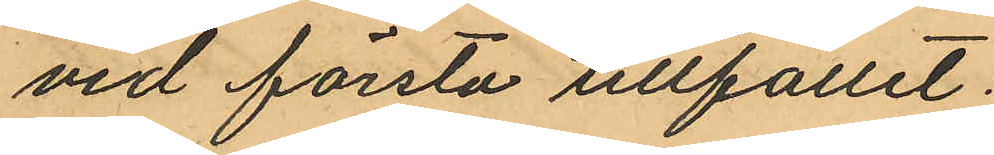vid första tllfället:
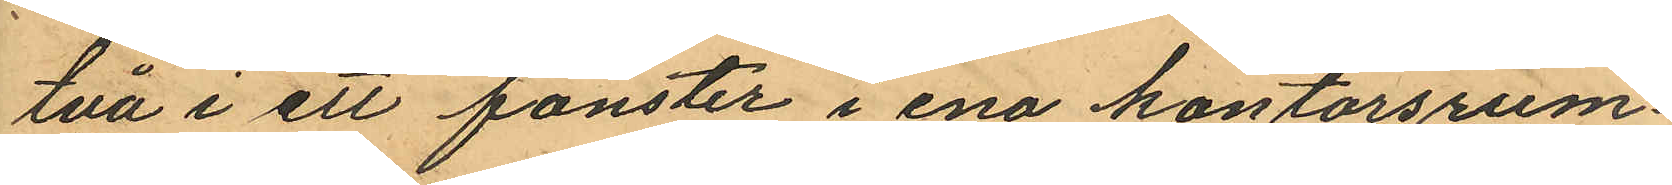två i ett fönster i ena kontorsrum¬
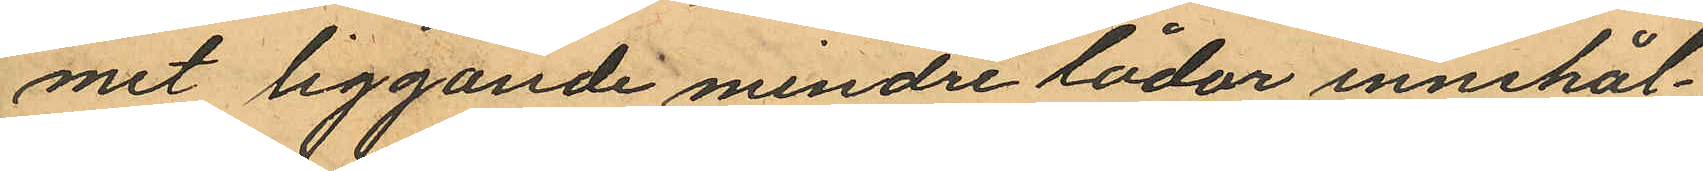mit liggande mindre lådor innehål¬
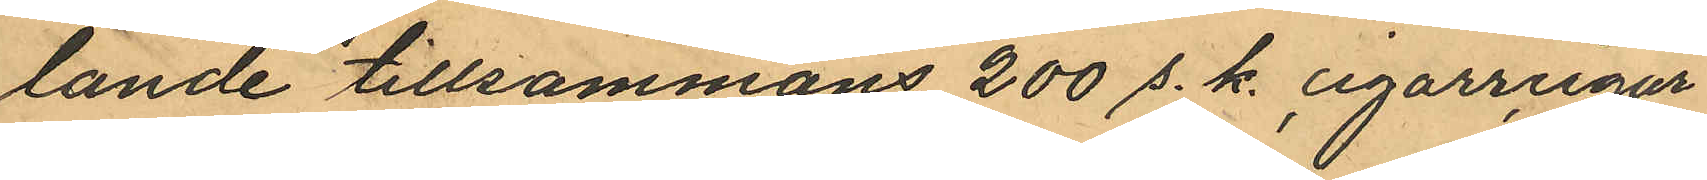lande tillsammans 200 s. k. cigarrcigar¬
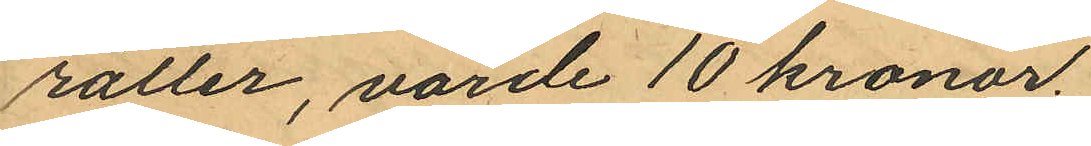rätter, värde 10 kronor.
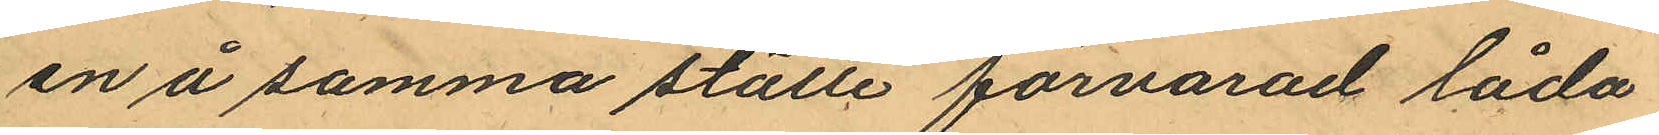en å samma ställe förvarad låda
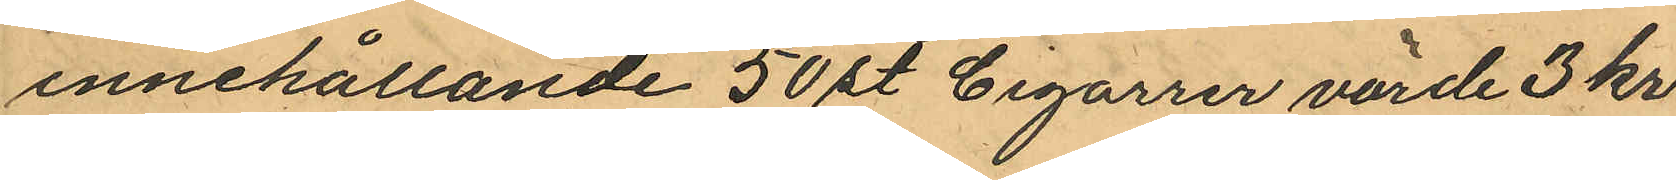innehållande 50 st Cigarrer värde 3 kr
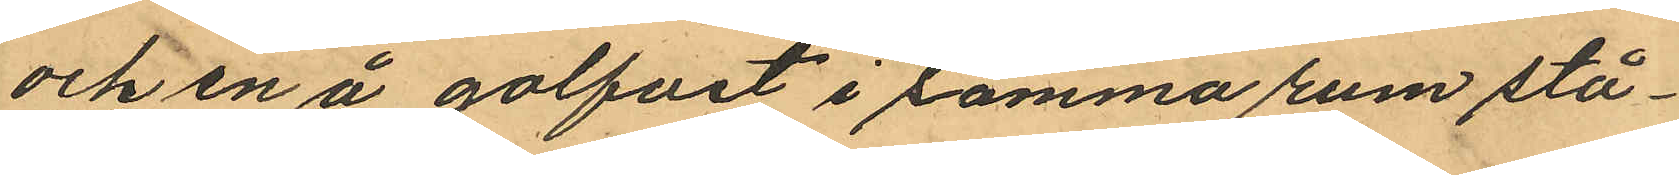och en å golfvet i samma rum stå¬
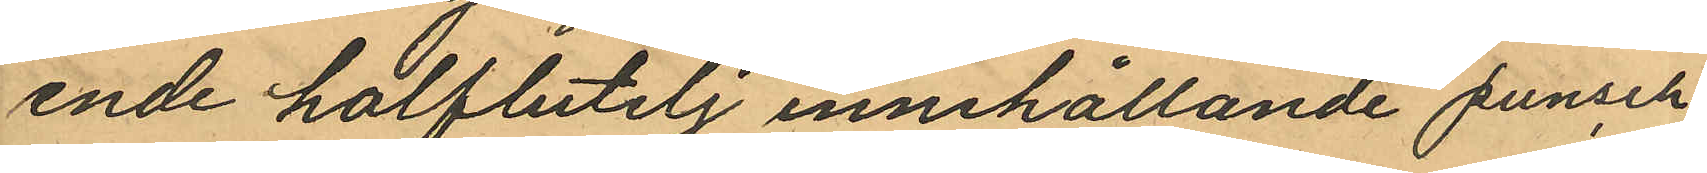ende halfbutelj innehållande punsch
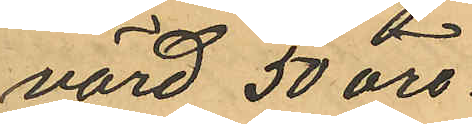värd 50 öre.
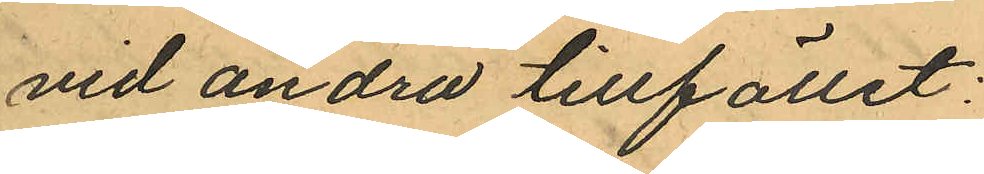vid andra tillfället:
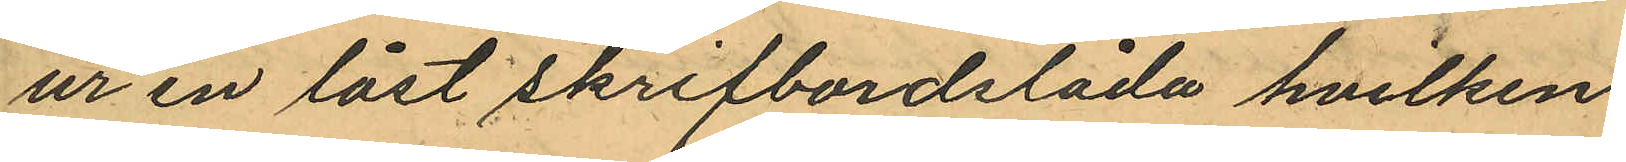ur en låst skrifbordslåda hvilken
